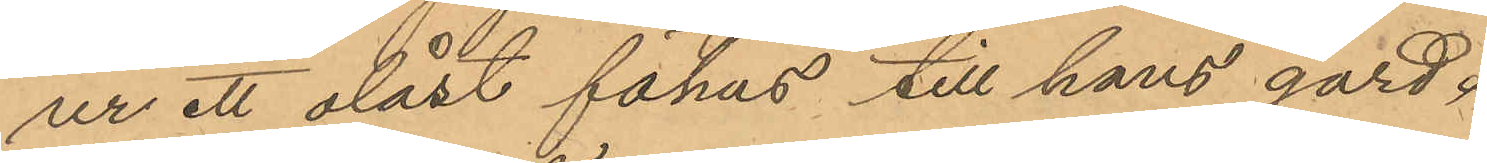ur ett olåst fähus till hans gård
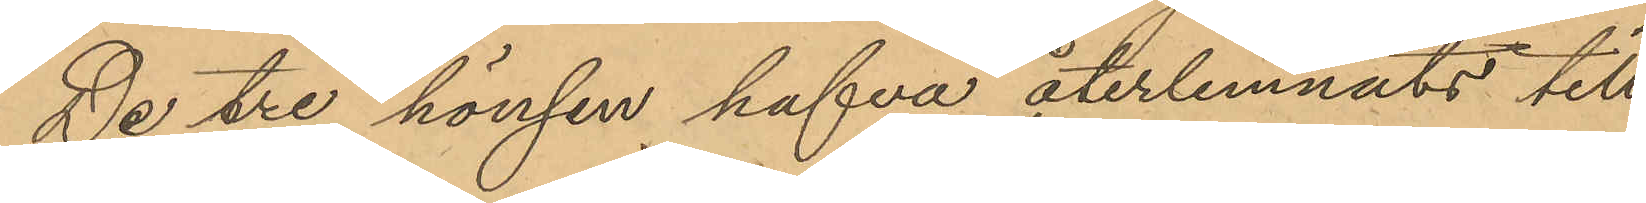De tre hönsen hafva återlemnats till
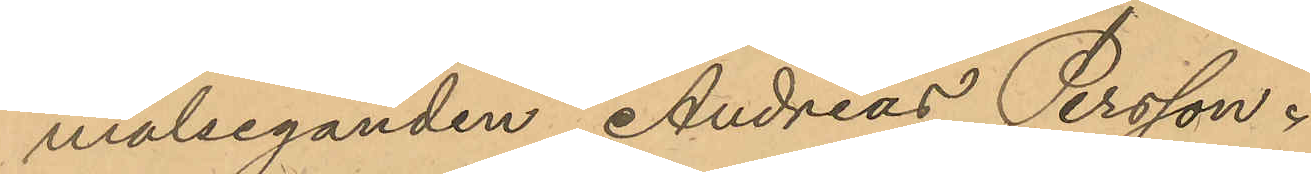målseganden Andreas Persson.
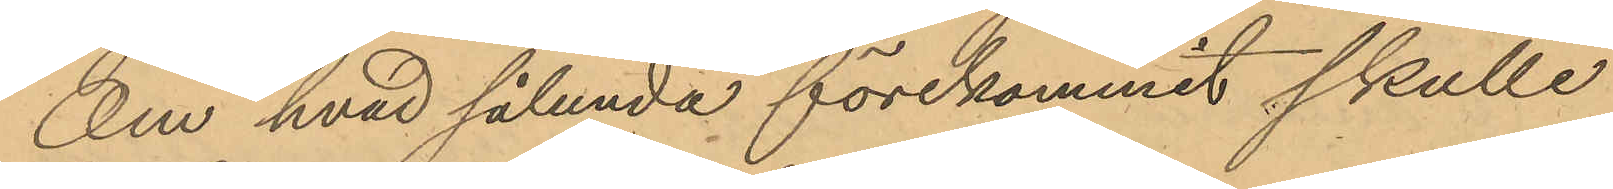Om hvad sålunda förekommit skulle
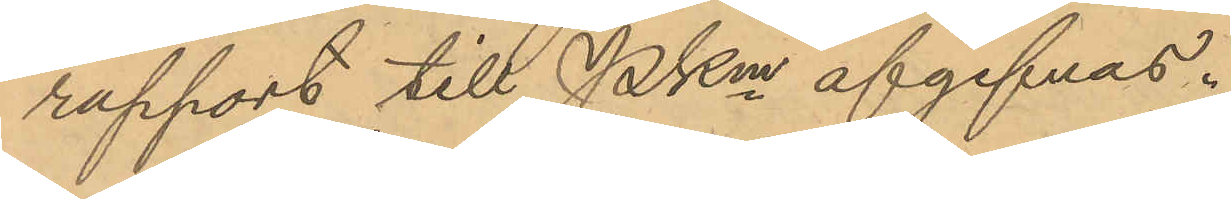rapport till PKm afgifvas.
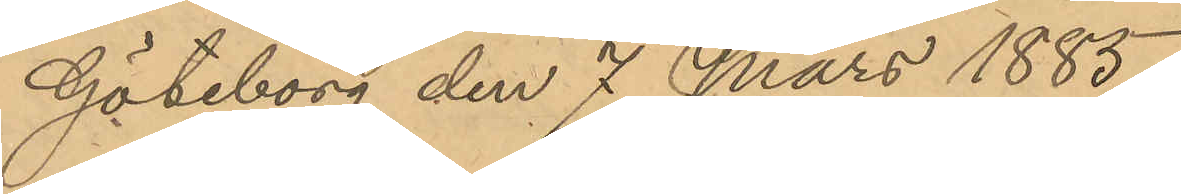Göteborg den 7 Mars 1885.
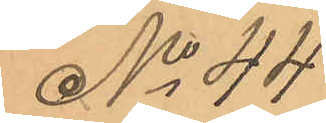No 44
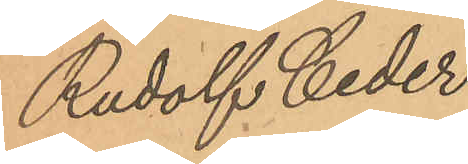Rudolf Ceder
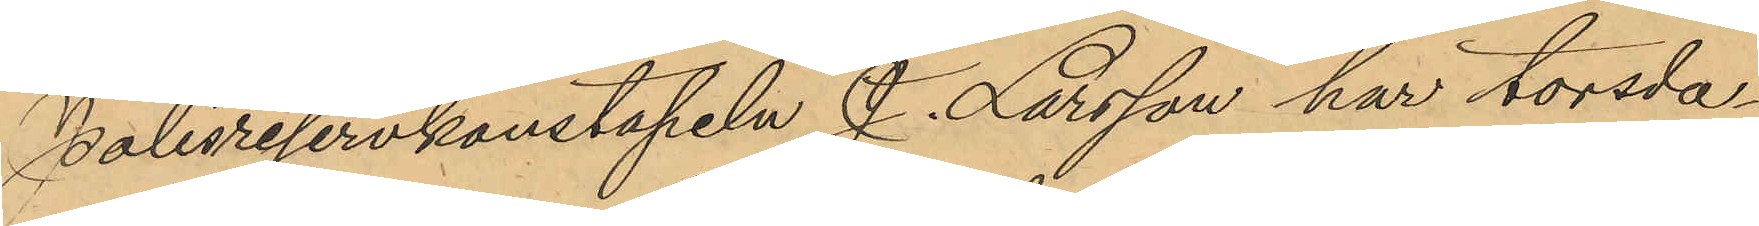Polisreservkonstapeln J. Larsson har torsda¬
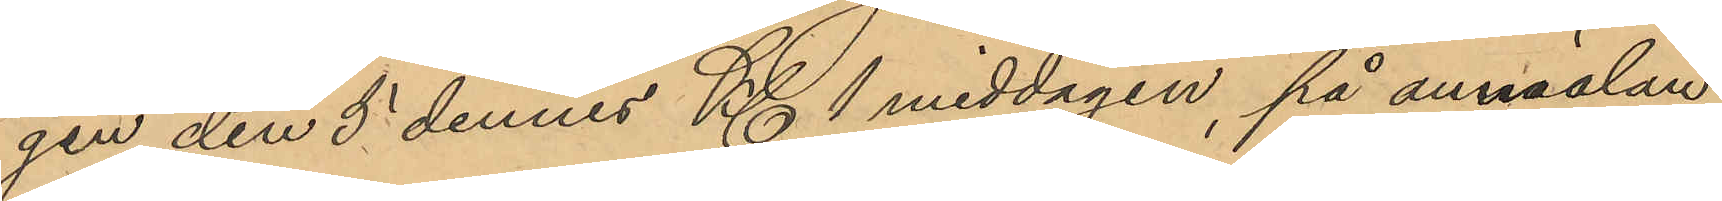gen den 5 dennes Kl. 1 middagen, på annälan
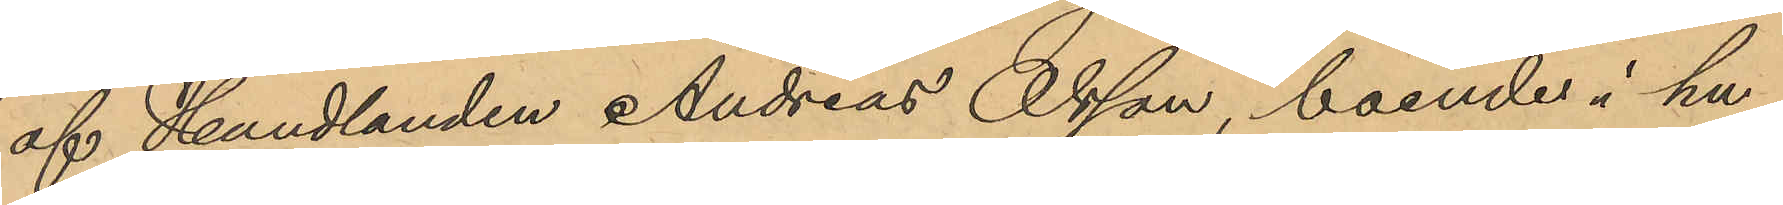af Handlanden Andreas Olsson, boende i hu¬
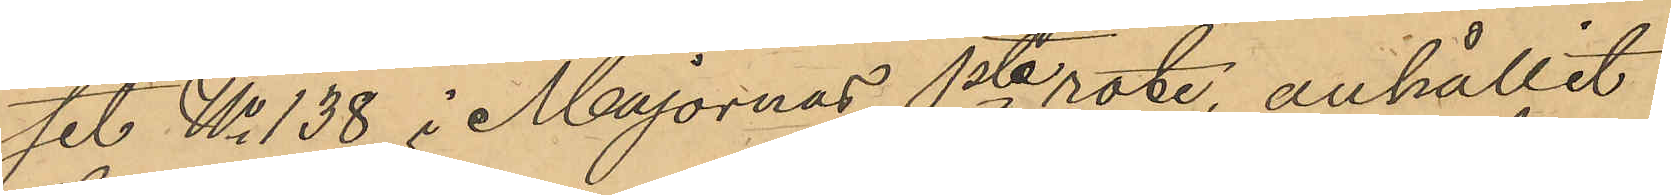set No 138 i Majornas 1ste rote, anhållit
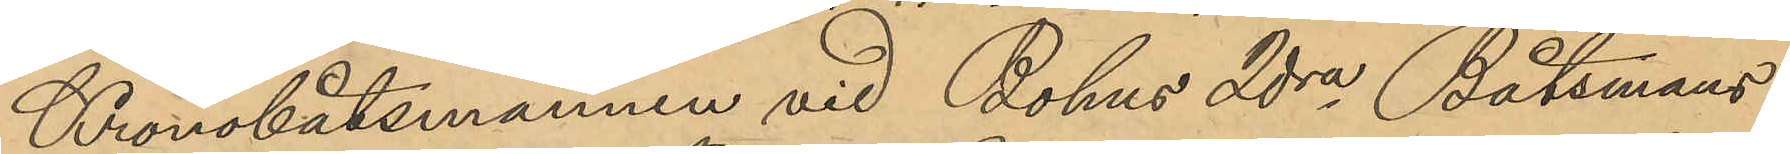Kronobåtsmannen vid Bohus 2dra Båtsmans¬
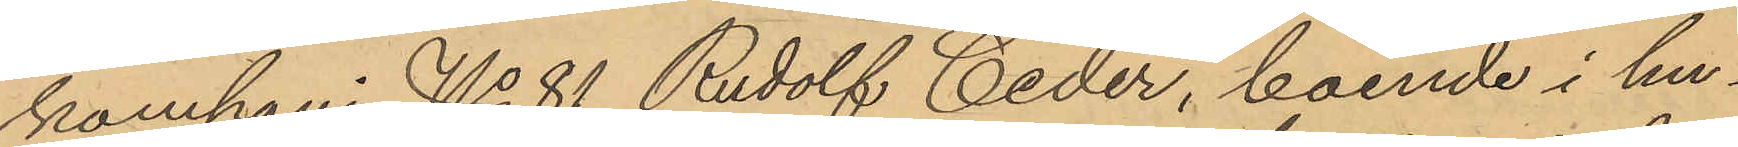kompani No 81 Rudolf Ceder, boende i hu¬
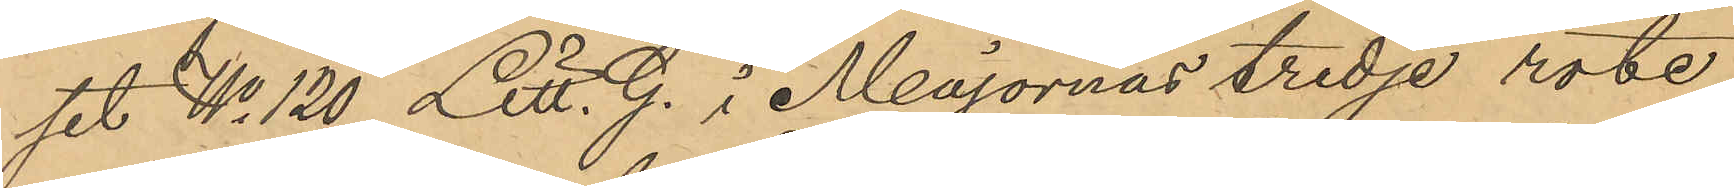set No 120 Litt. G. i Majornas tredje rote
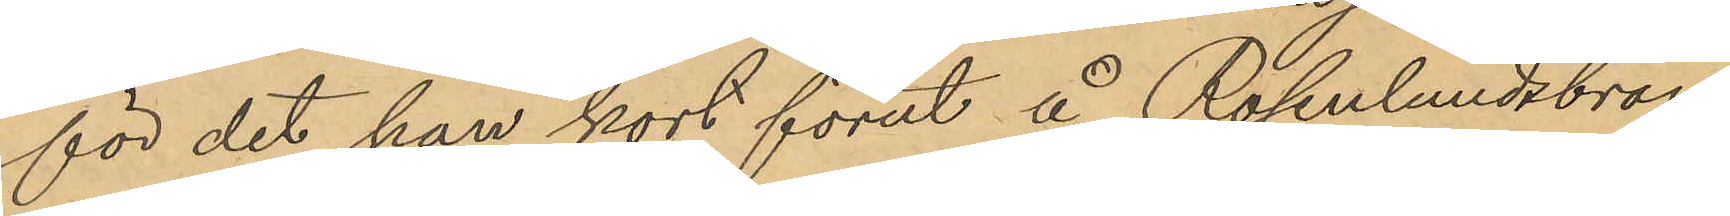för det han kort förut å Rosenlundsbron,
